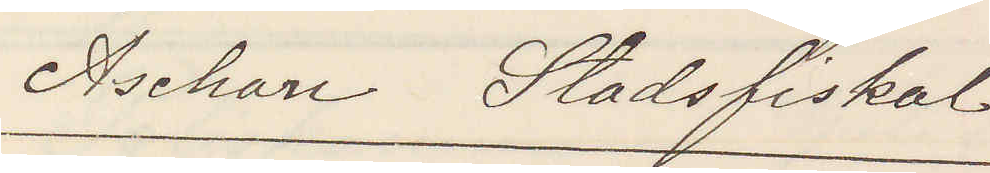Aschan Stadsfiskal.
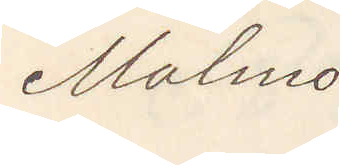Malmö
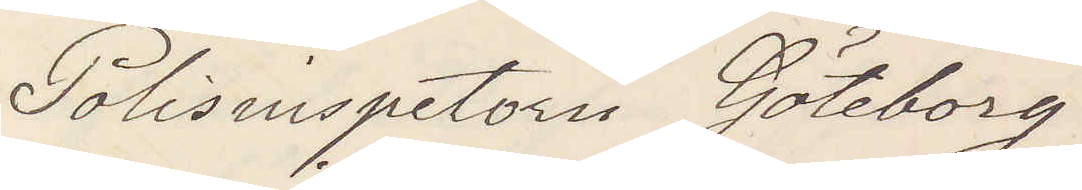Polisinspektorn Göteborg
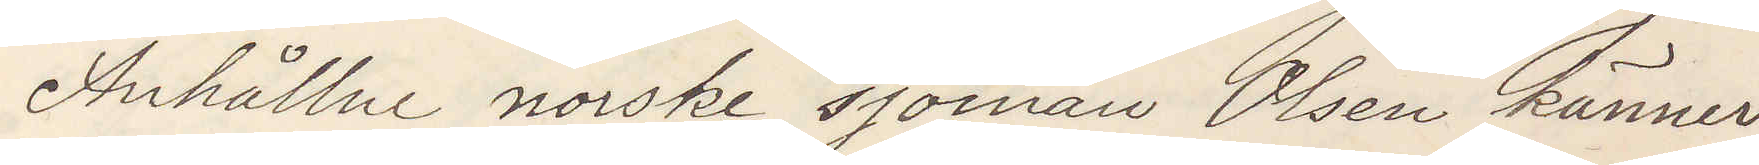Anhållne norske sjöman Olsen känner
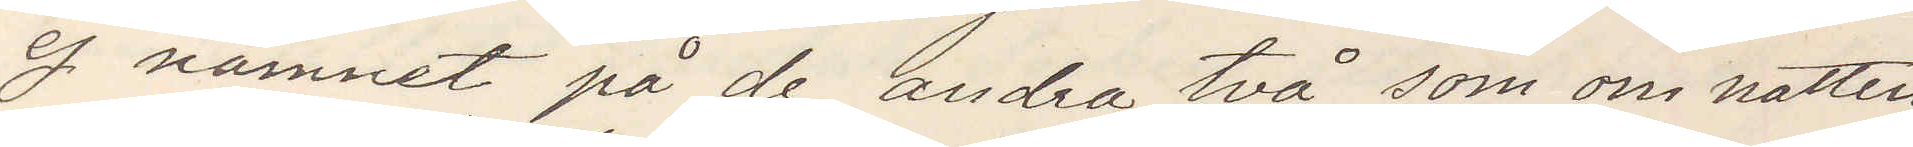ej namnet på de andra två, som om natten
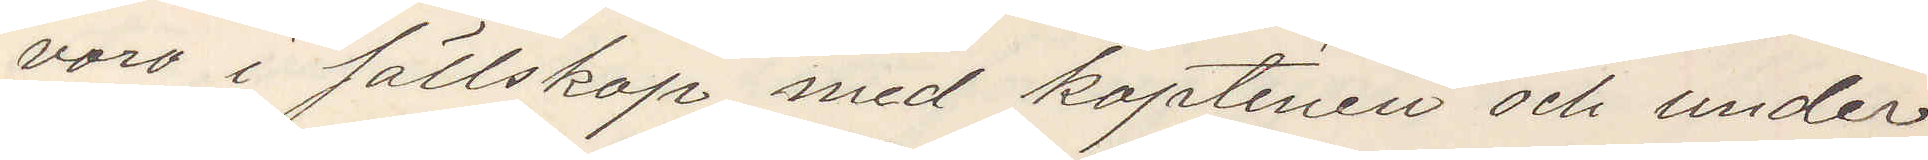voro i sällskap med kaptenen och under
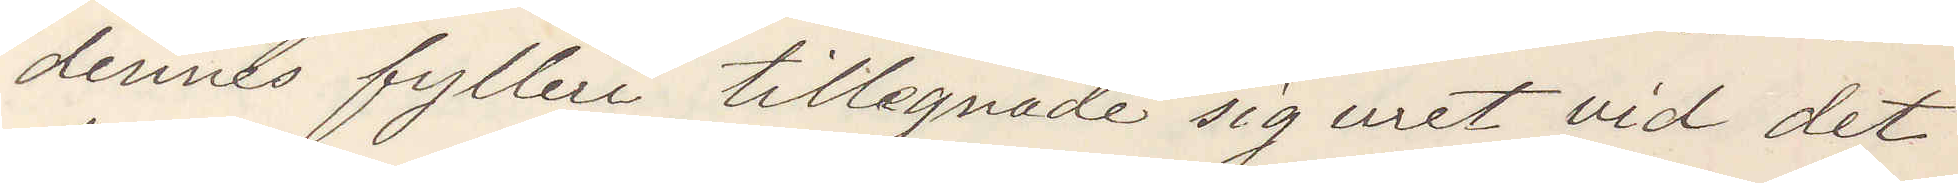dennes fylleri tillegnade sig uret vid det
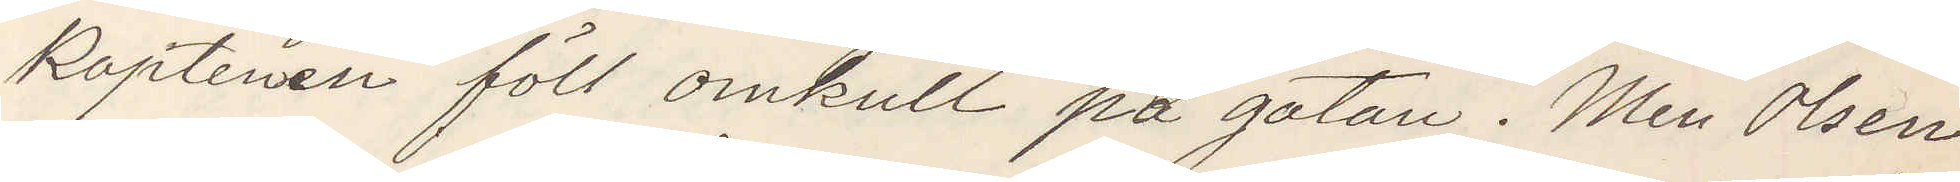Kaptenen föll omkull på gatan. Men Olsen
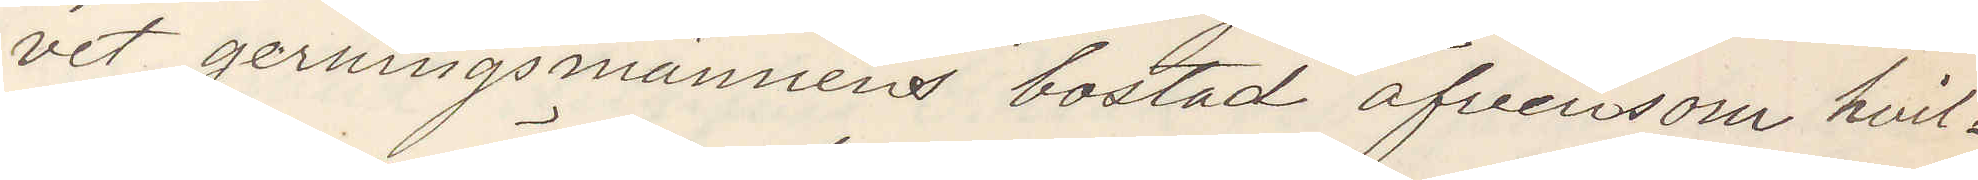vet gerningsmännens bostad äfvensom hvil¬
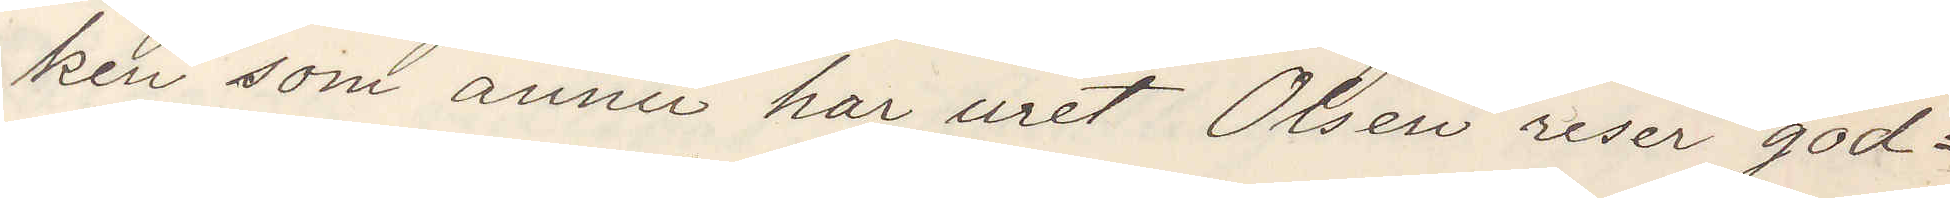ken som ännu har uret Olsen reser god¬
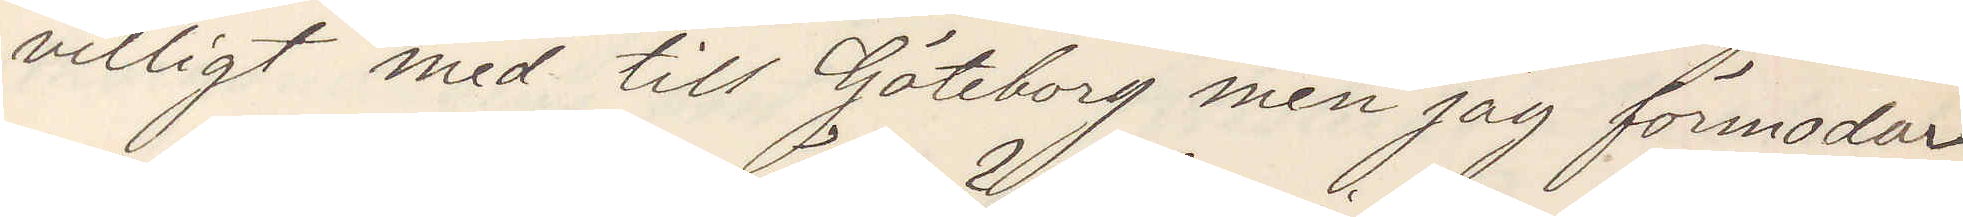villigt med till Göteborg men jag förmodar
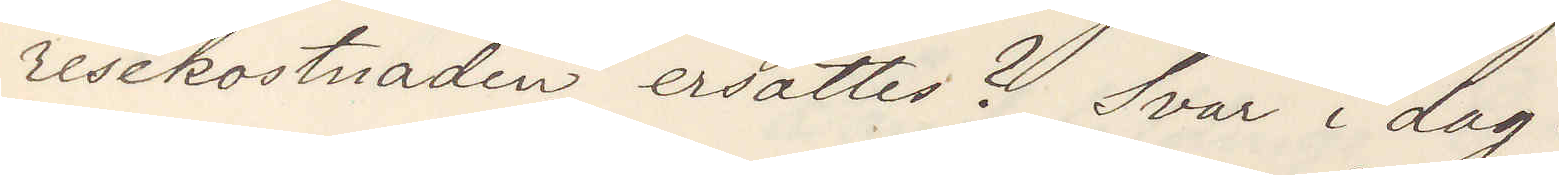resekostnaden ersättes? Svar idag.
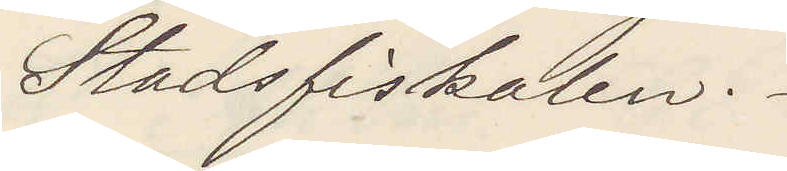Stadsfiskalen.
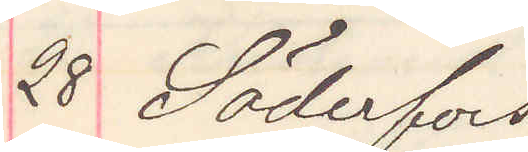28 Söderfors
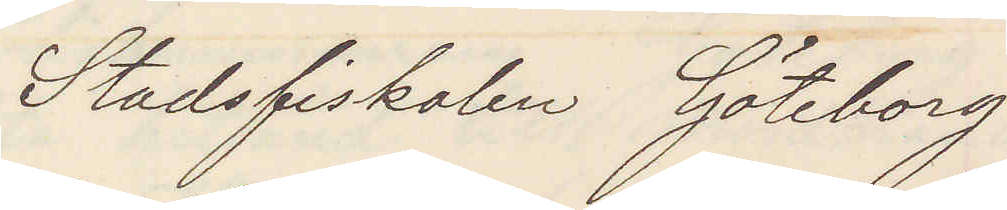Stadsfiskalen Göteborg
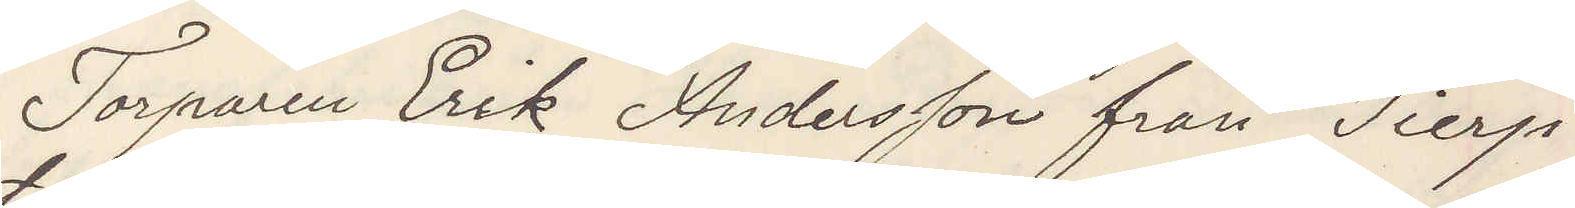Torparen Erik Andersson från Tierp
